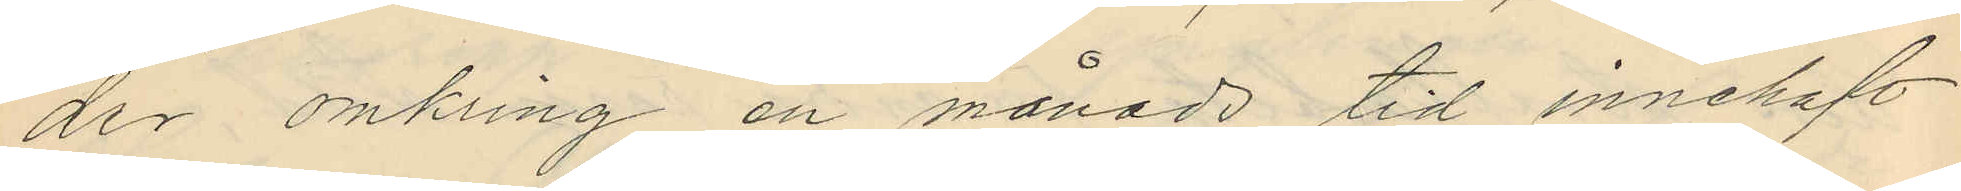der omkring en månads tid innehaft
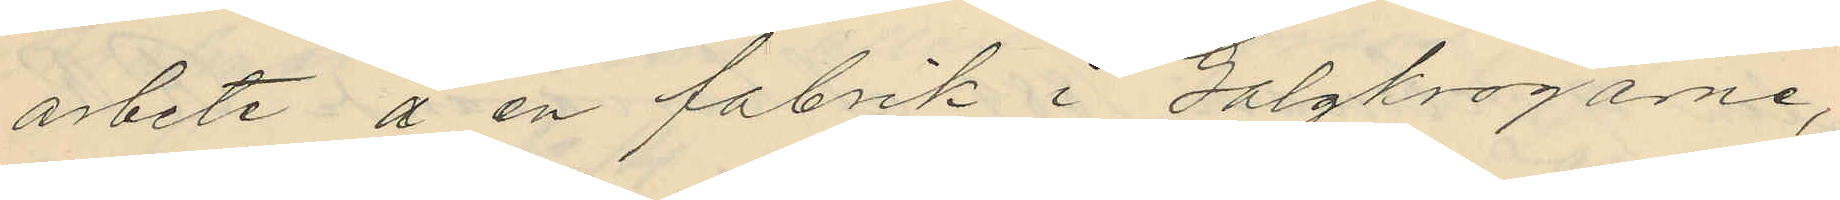arbete å en fabrik i Galgkrogarne,
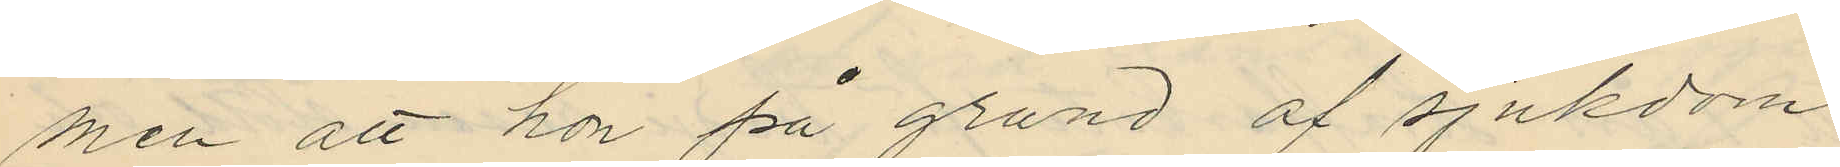men att hon på grund af sjukdom
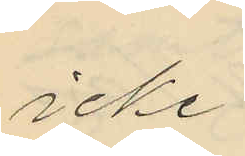icke
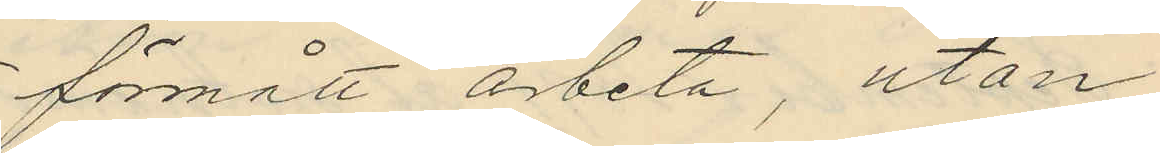förmått arbeta, utan
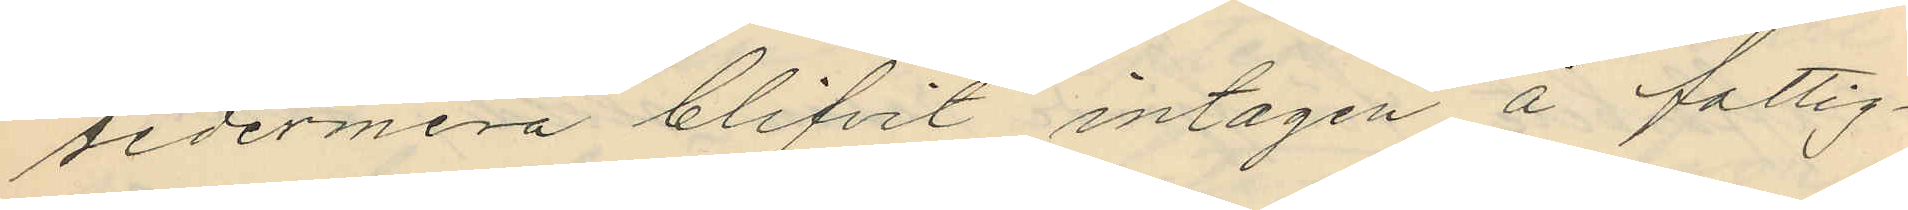sedermera blifvit intagen å fattig¬
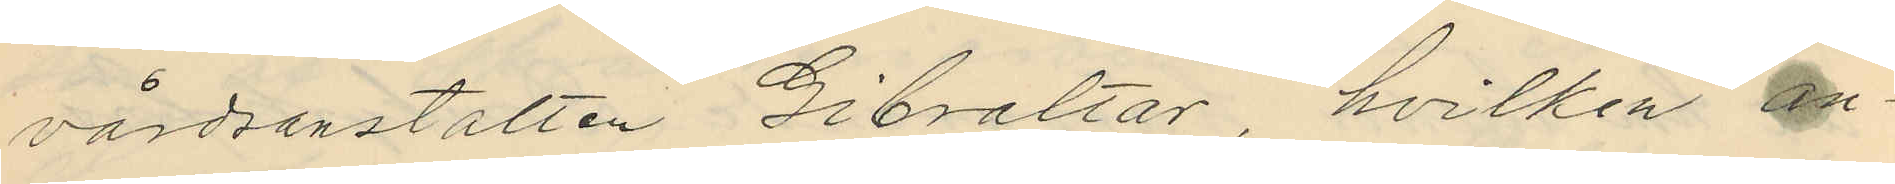vårdsanstatten Gibraltar, hvilken an¬
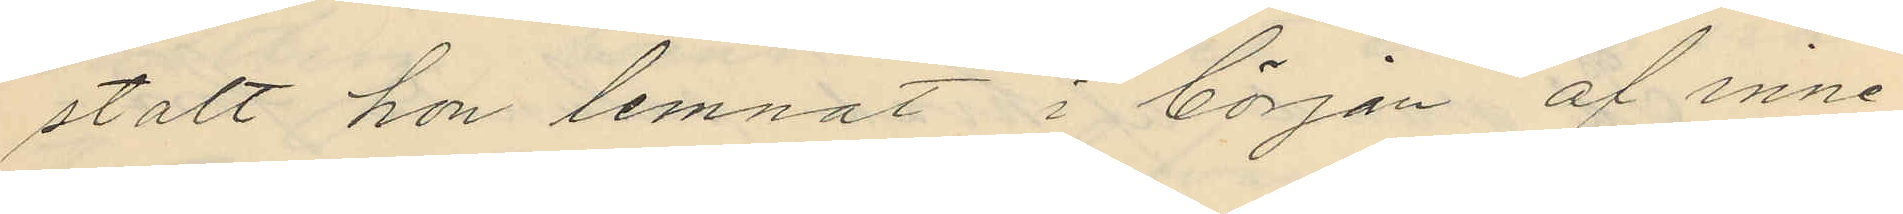stalt hon lemnat i början af inne¬
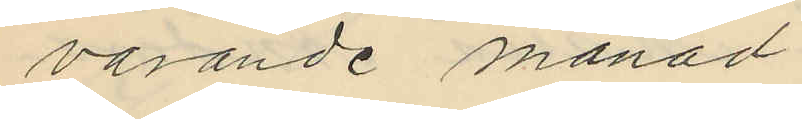varande månad;
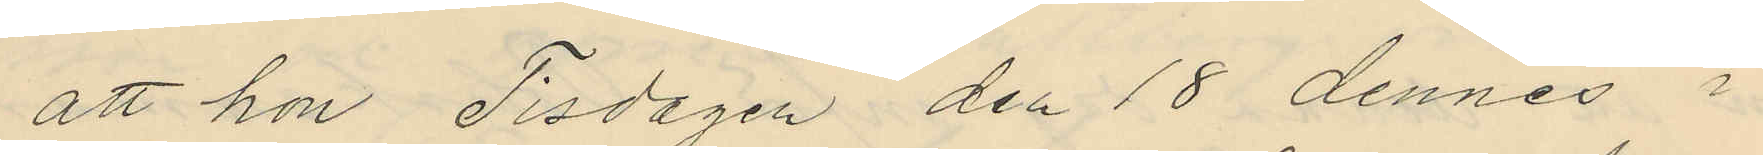att hon Tisdagen den 18 dennes i
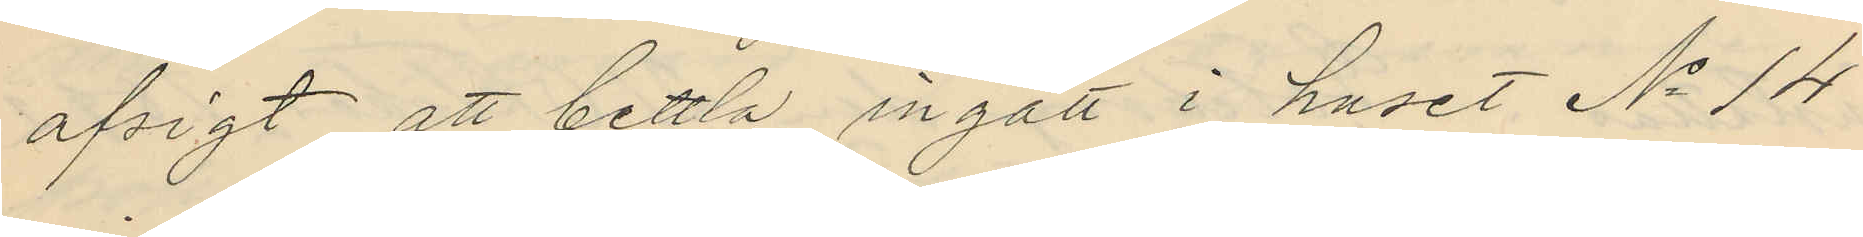afsigt att bettla ingått i huset No 14
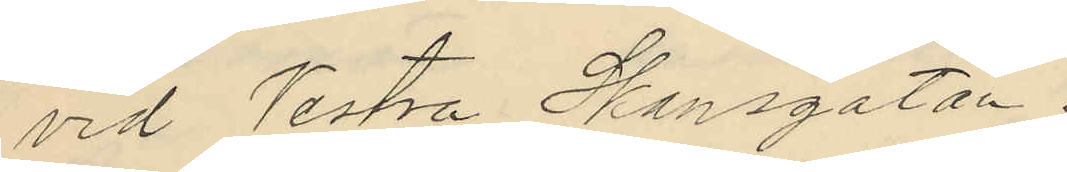vid Vestra Skansgatan;
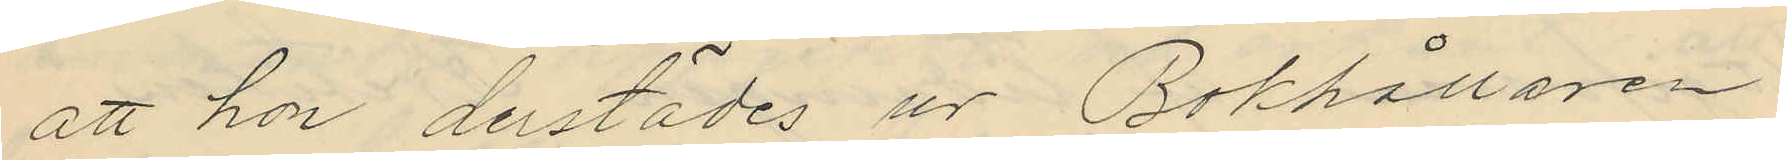att hon derstädes ur Bokhållaren
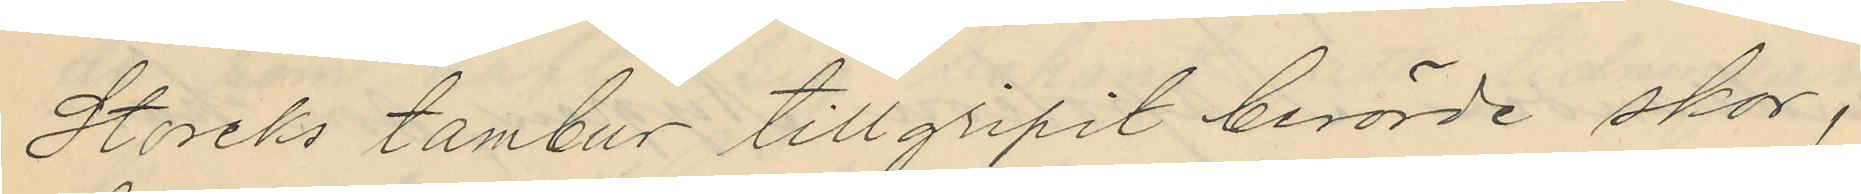Storcks tambur tillgripit berörde skor,
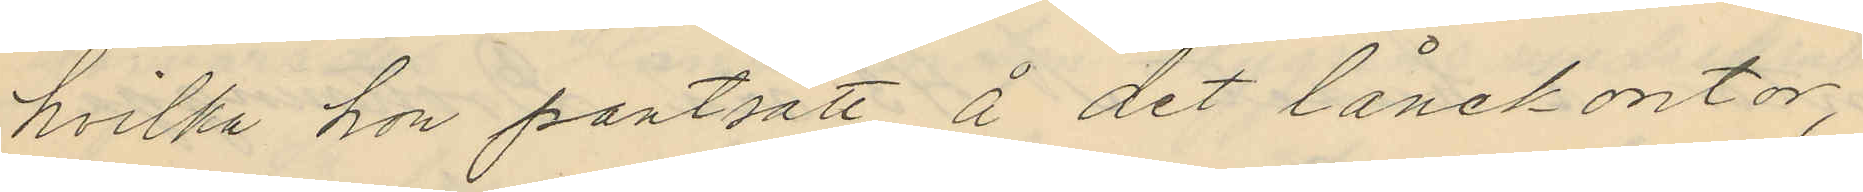hvilka hon pantsatt å det lånekontor,
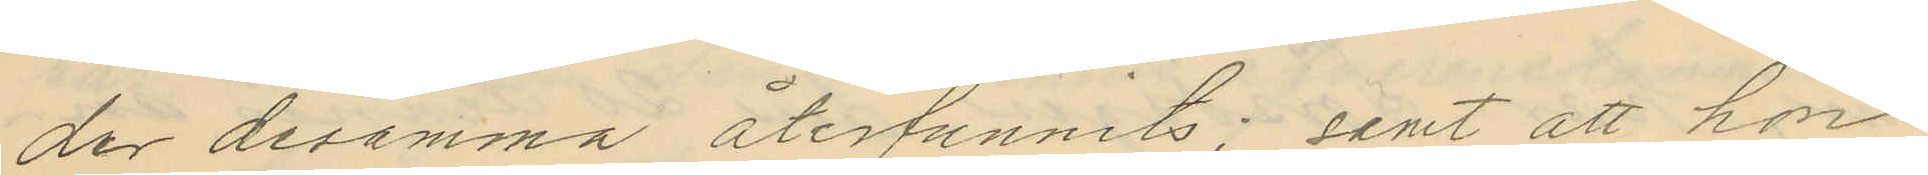der desamma återfunnits; samt att hon
